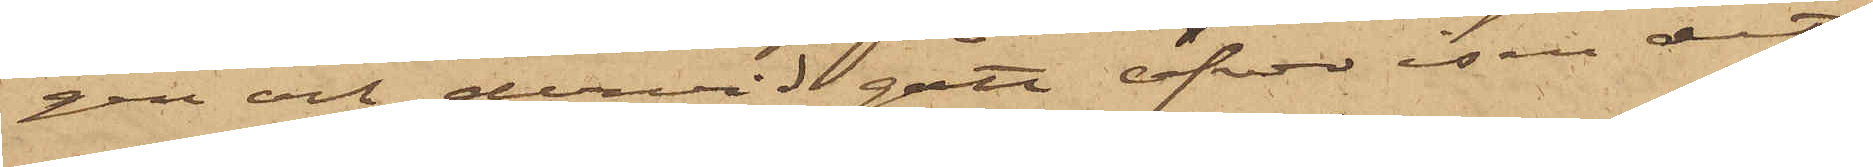gen och dervid gått öfver isen dit,
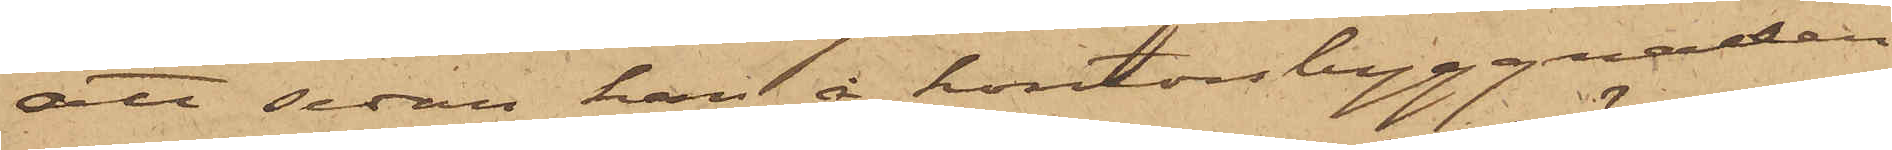att sedan han å kontorsbyggnaden
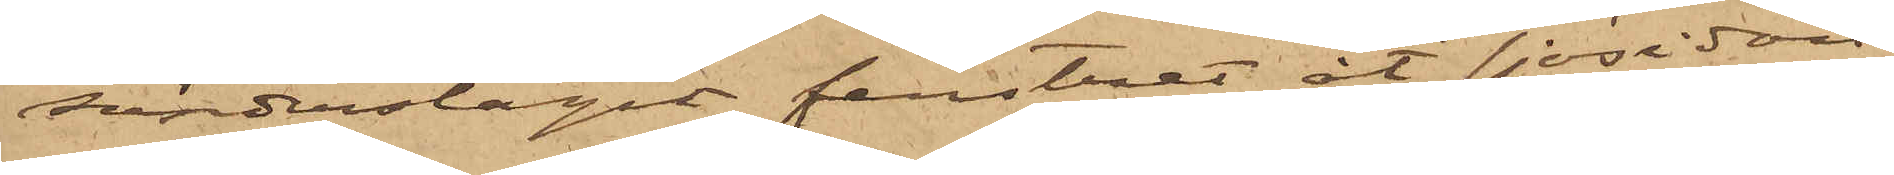sönderslagit fenstret åt sjösidan,
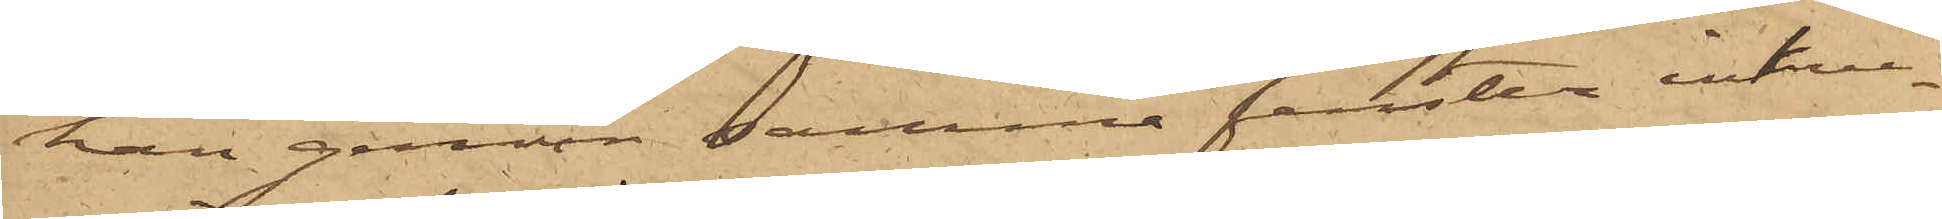han genom samma fenster inkru¬
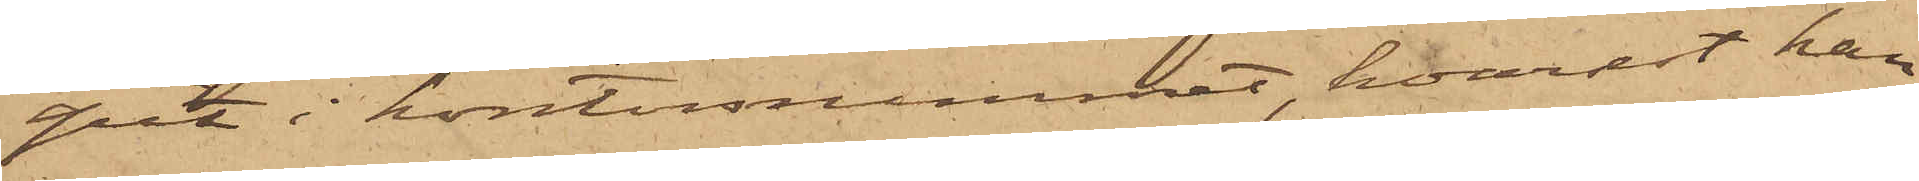pit i kontorsrummet, hvarest han
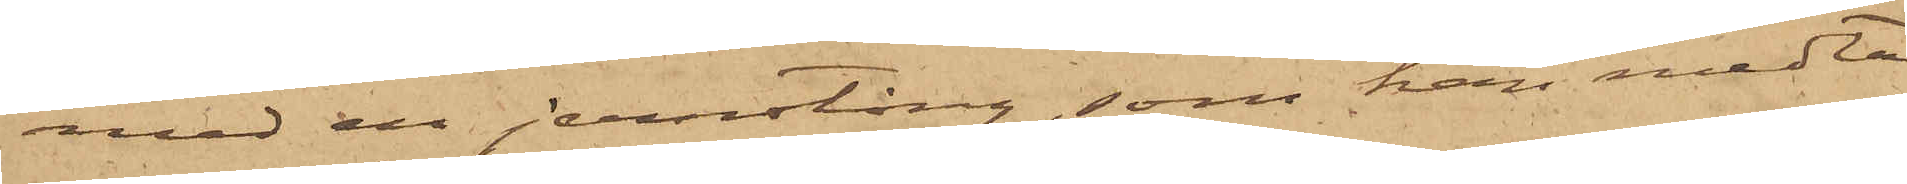med en jernstång, som han medta¬
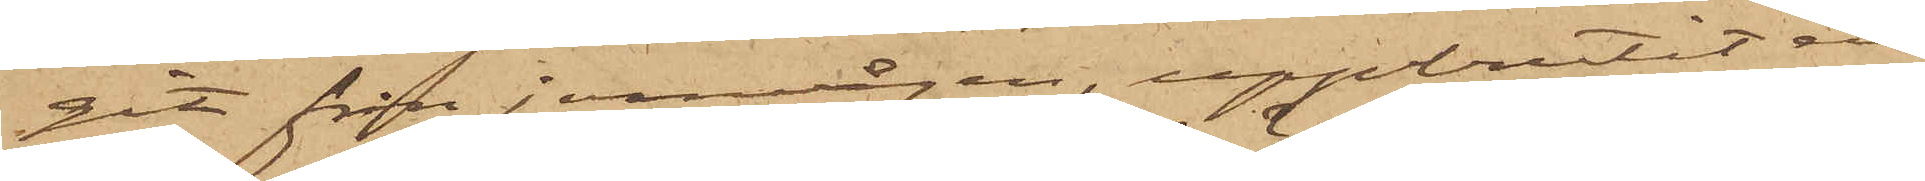git från jernvågen, uppbrutit en
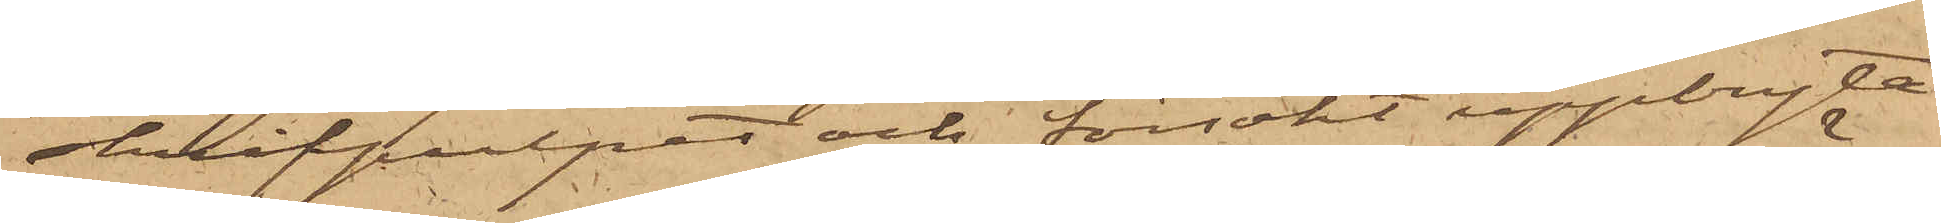skrifpulpet och försökt uppbryta
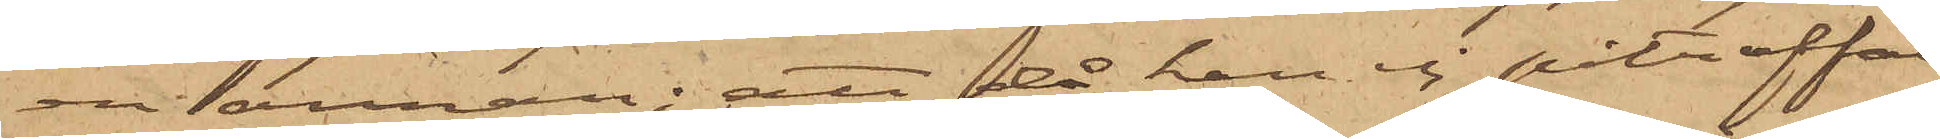en annan; att då han ej påträffat
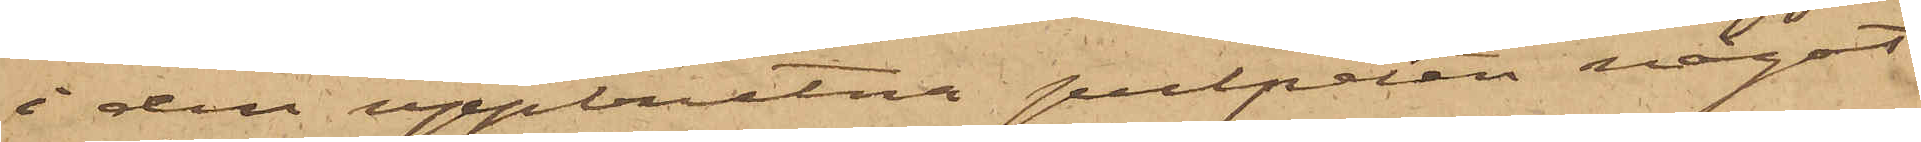i den uppbrutna pulpeten något
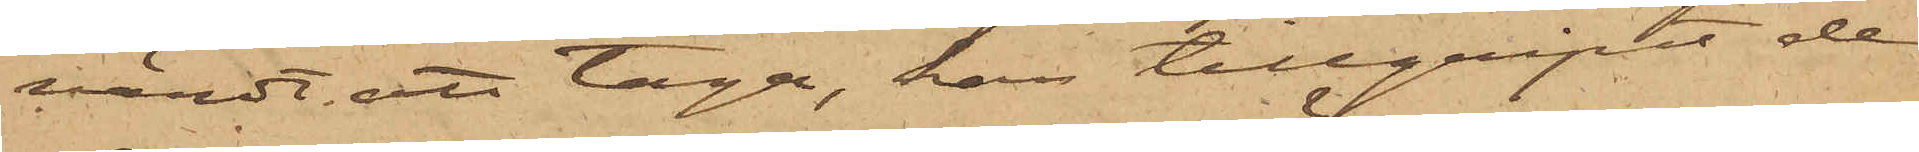värdt att taga, han tillgripit de
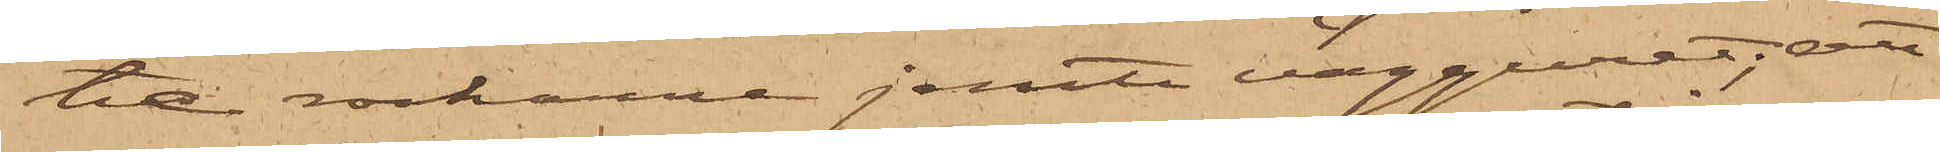tre rockarne jemte vägguret; att
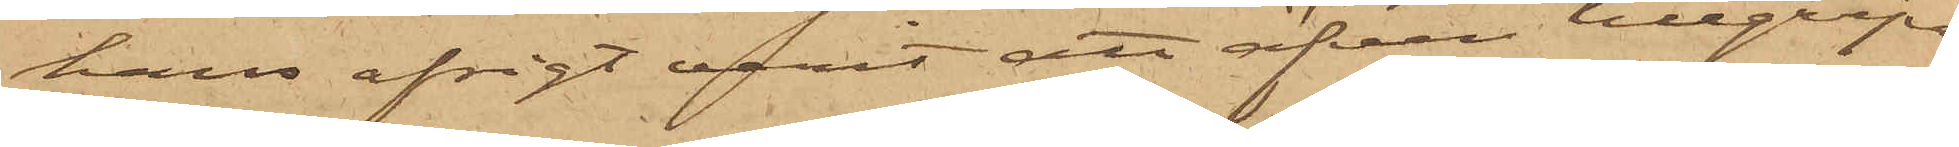hans afsigt varit att äfven tillgripa
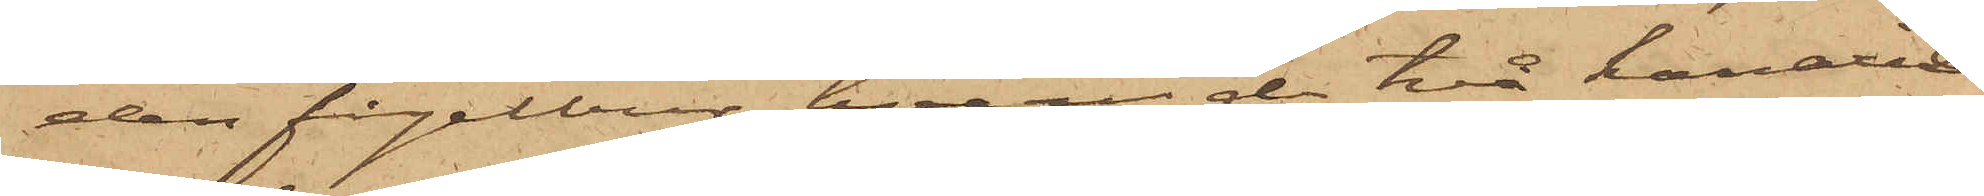den fågelbur, hvari de två kanarie¬
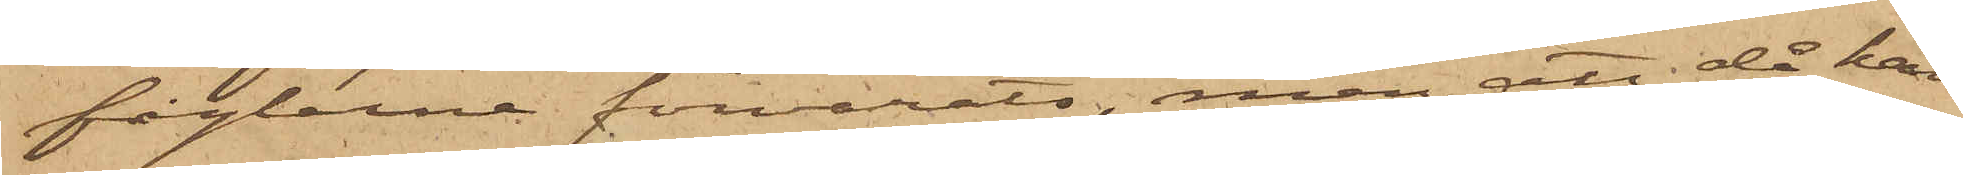fåglarne förvarats, men att då han
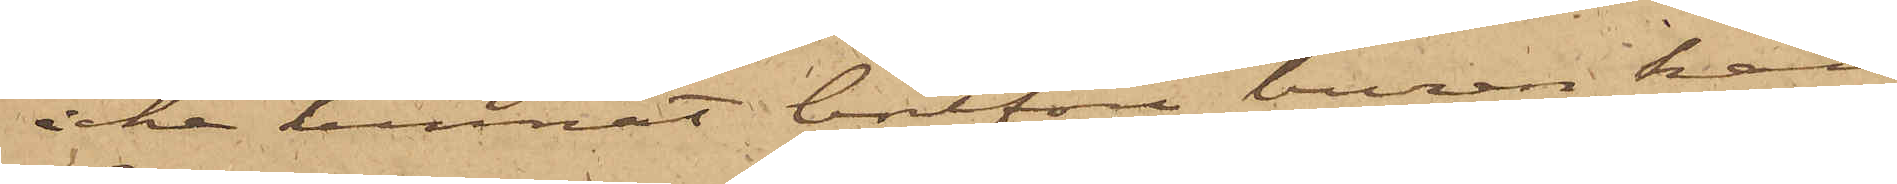icke kunnat bortföra buren, han
